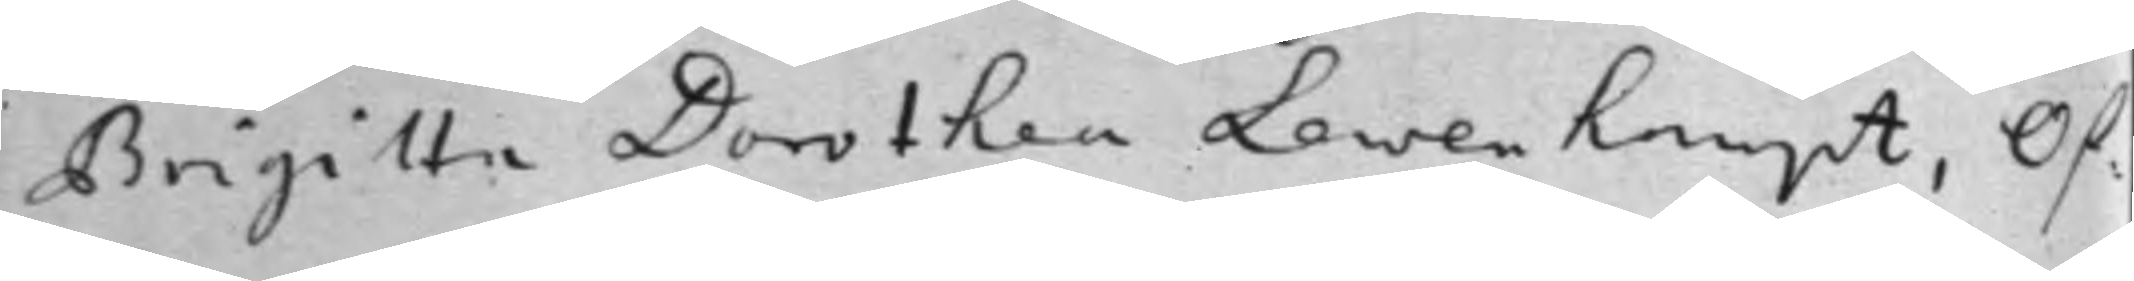Brigitta Dorothea Lewenhaupt, Öf¬
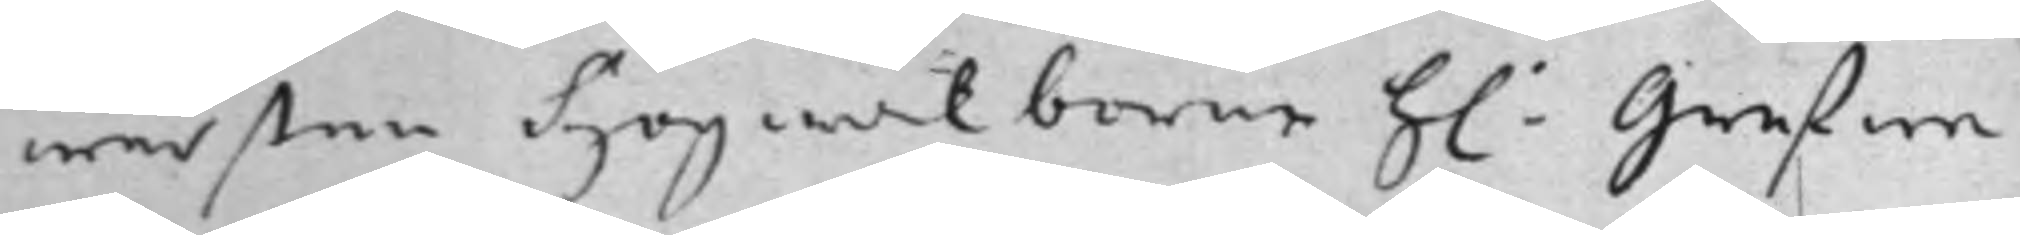wersten Högwälborne h: Grefwe
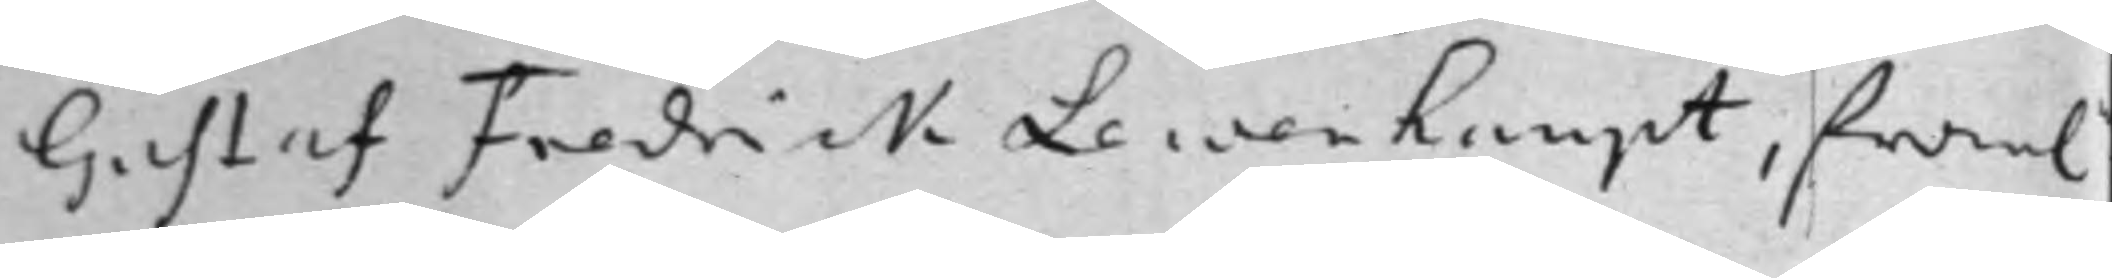Gustaf Fredrick Lewenhaupt, fram.n
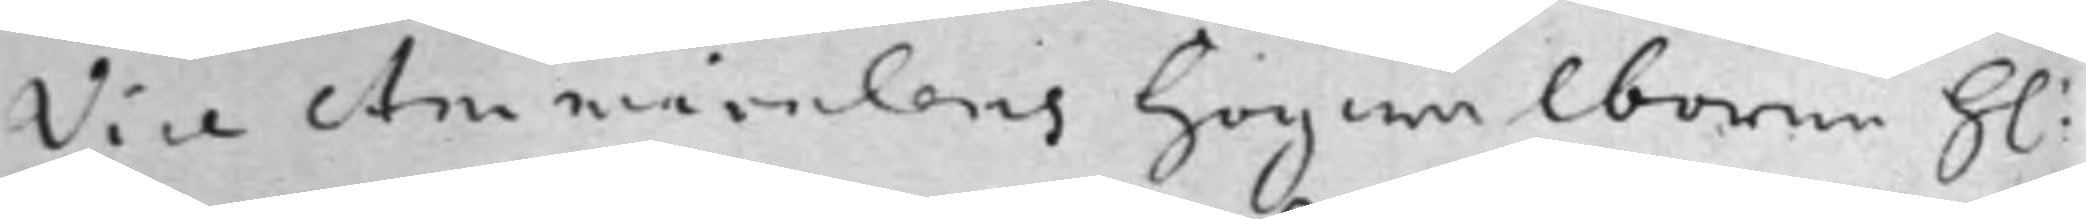Vice Ammiralens Högwälborne h:
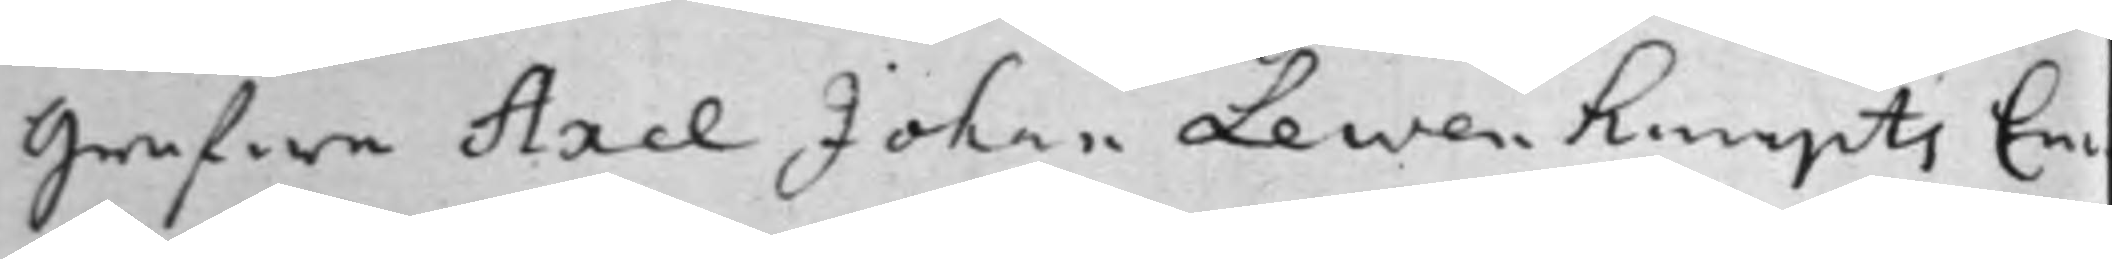Grefwe Axel Johan Lewenhaupts En¬
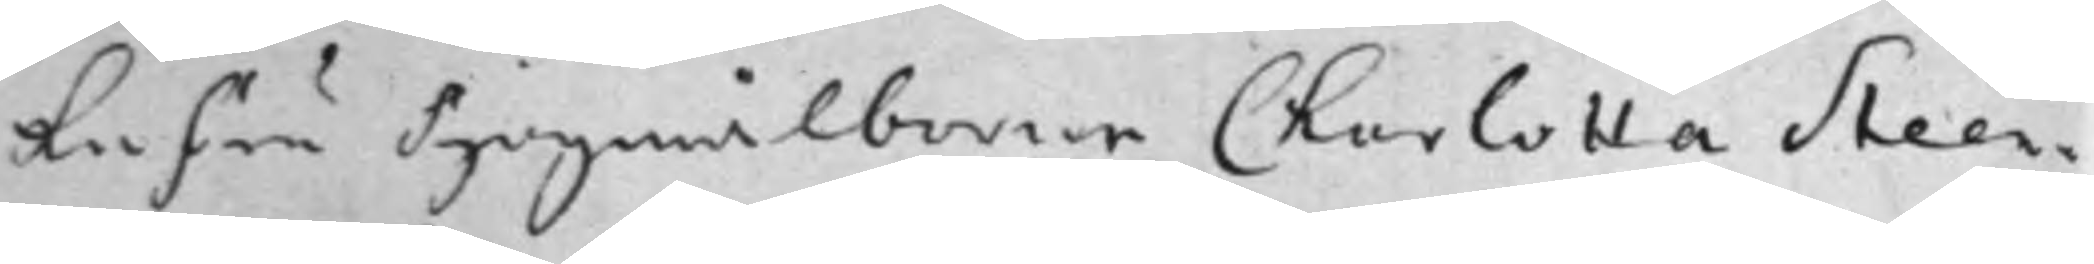kefru Högwälborne Charlotta Steen¬
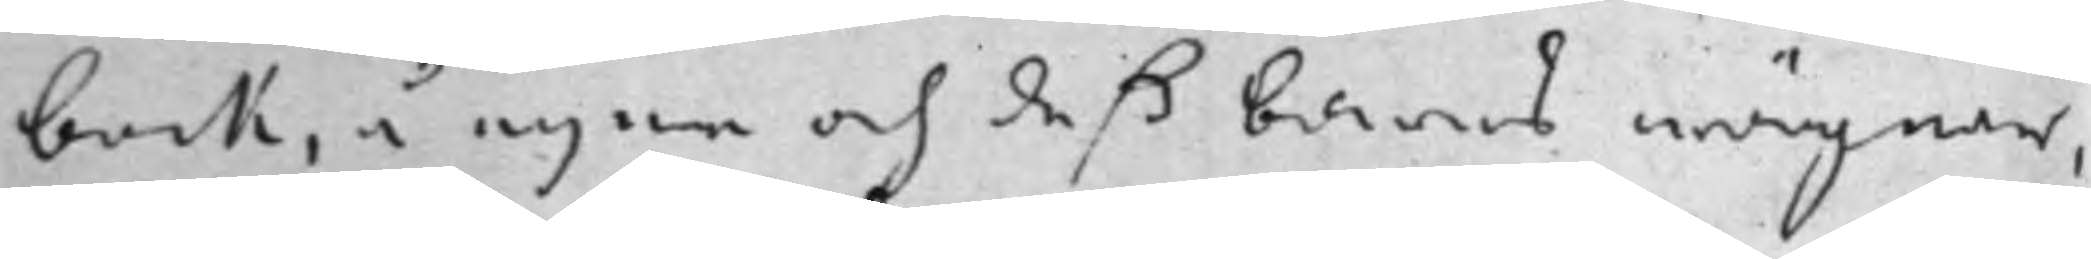bock, å egne och deß barns wägnar,
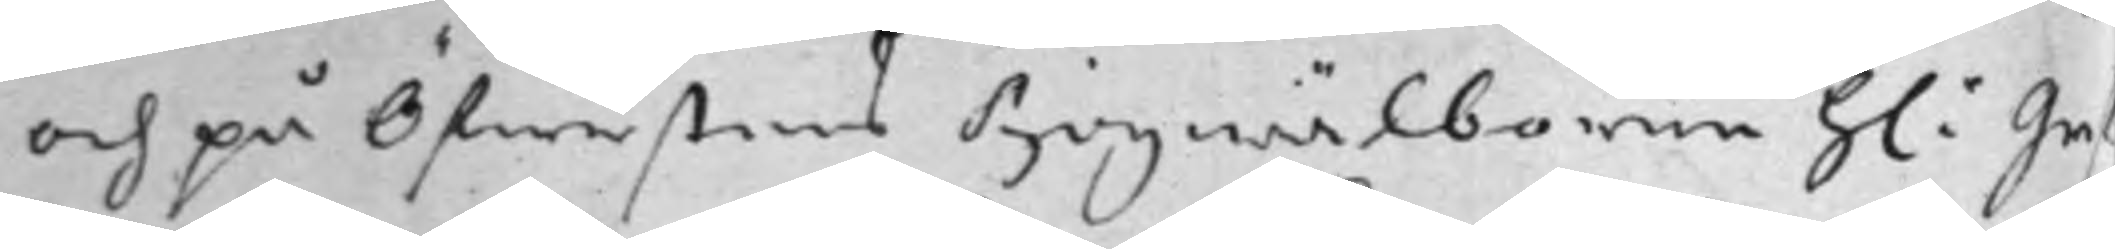och på Öfwerstens Högwälborne h: Gref¬
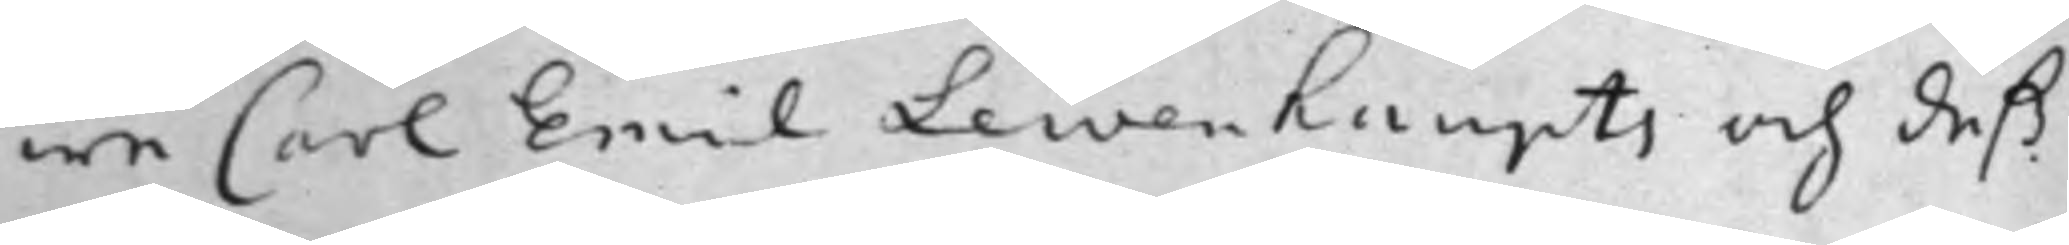we Carl Emil Lewenhaupts och deß
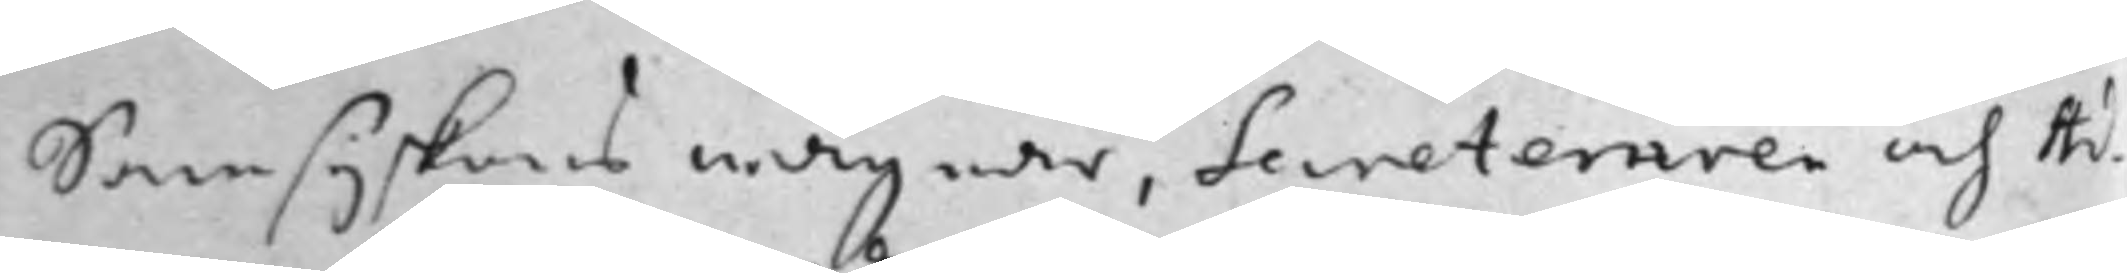Samsyskons wägnar, Secreteraren och Ad¬
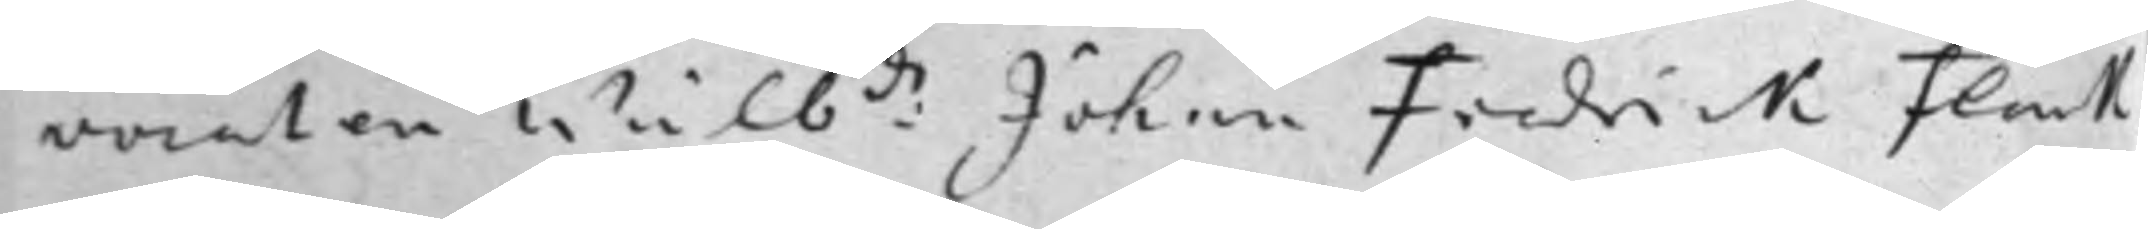vocaten Wälb:de Johan Fredrick Flack
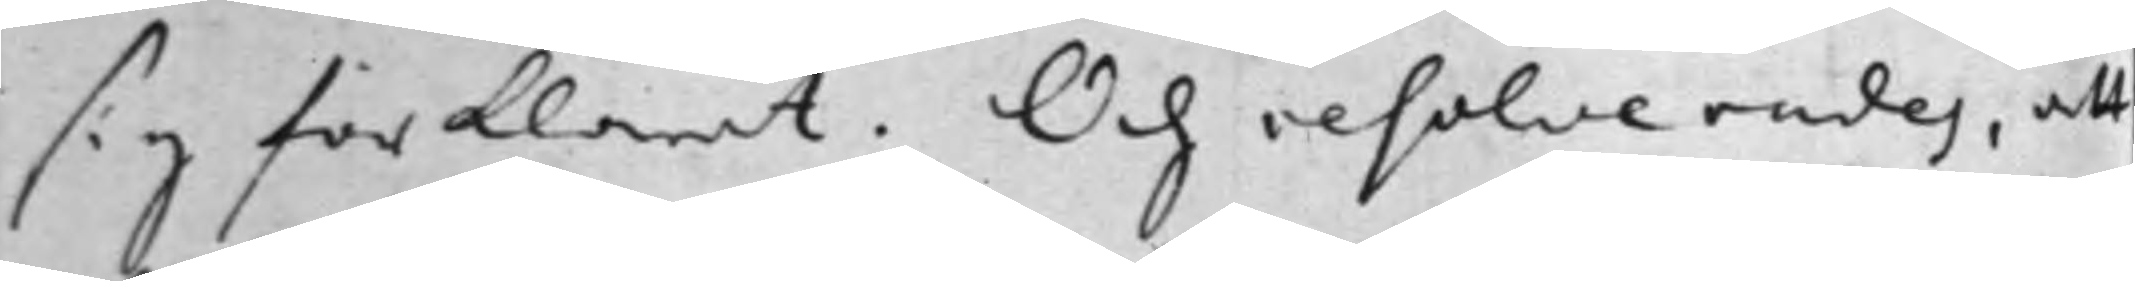sig förklarat. Och resolverades, att
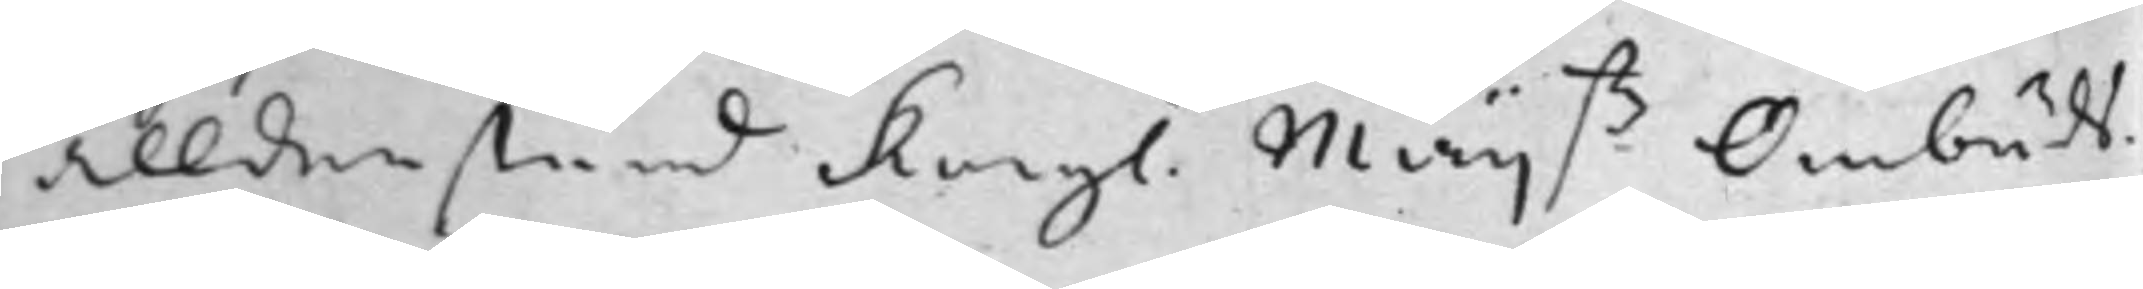alldenstund Kongl. Maij.tz Ombuds¬
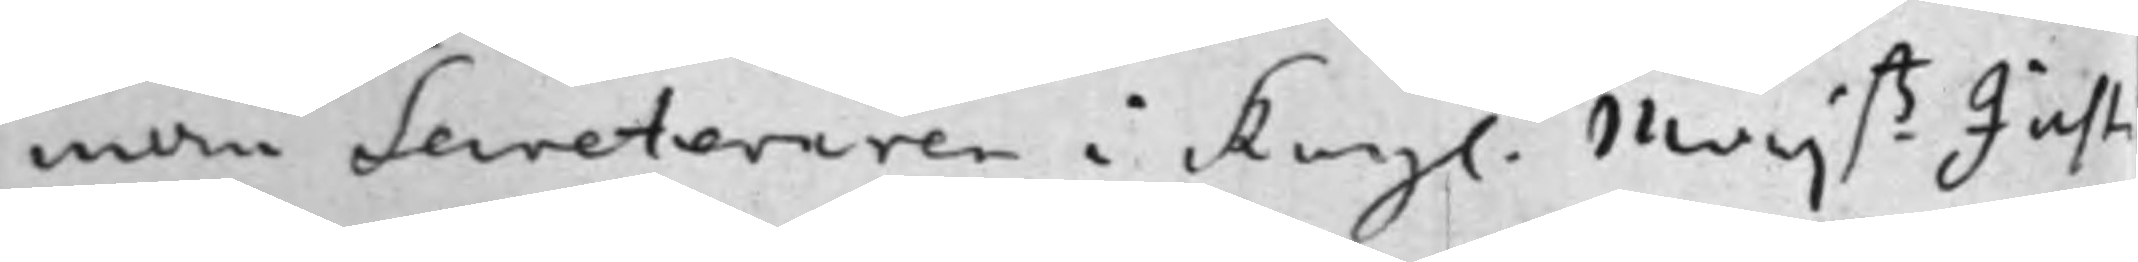män Secreteraren i Kongl. Maij.tz Justi¬
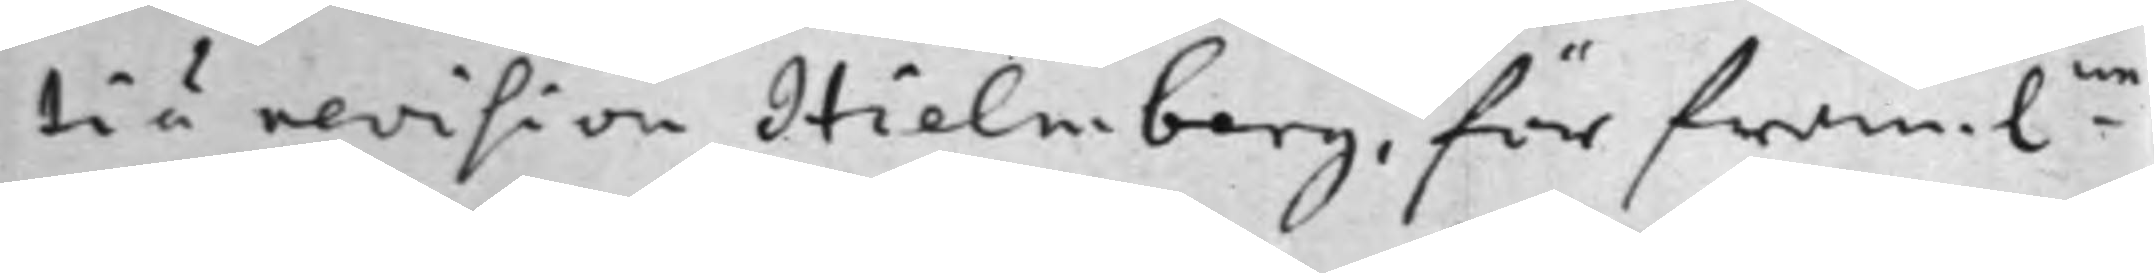tierevision Hielmberg, för fram:ne
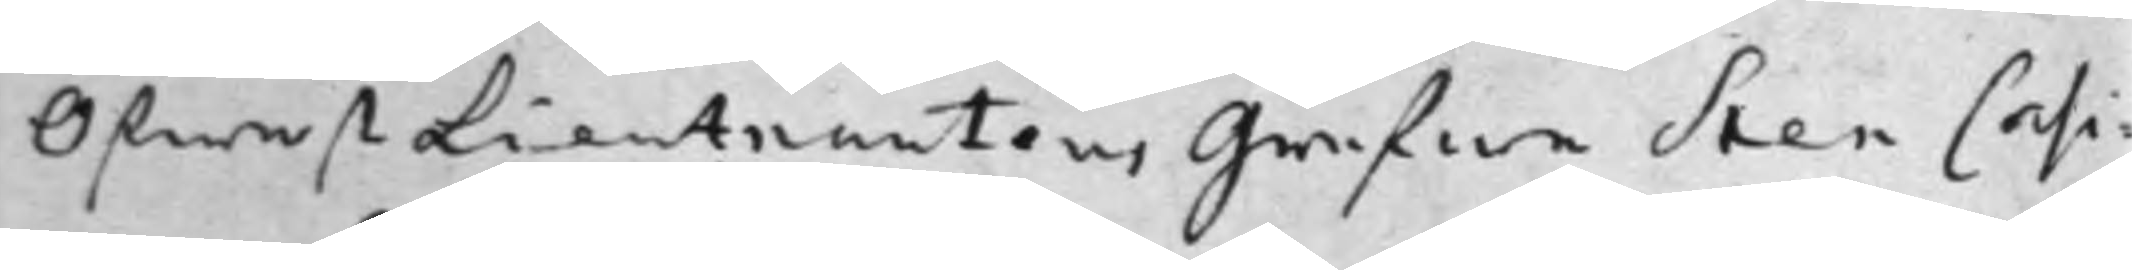ÖfwerstLieutnanten, Grefwe Sten Casi¬
